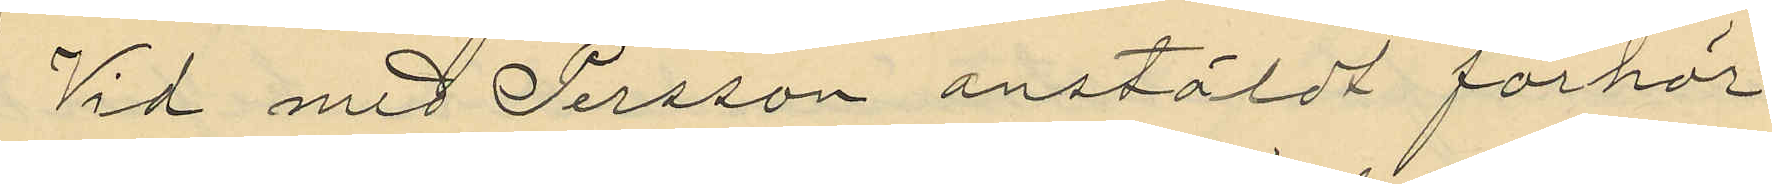Vid med Persson anstäldt förhör
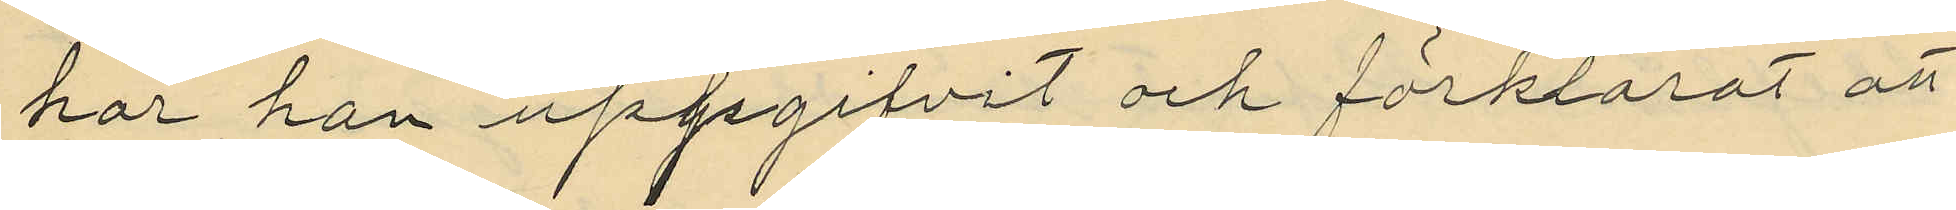har han uppgifvit och förklarat att
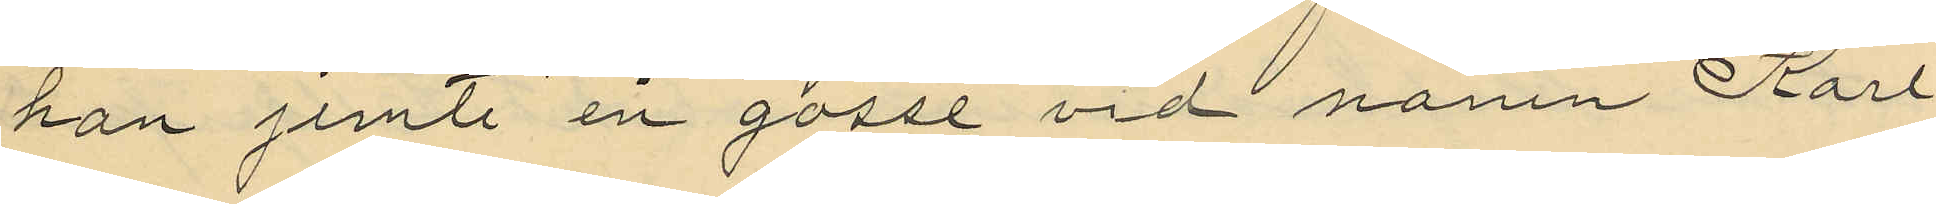han jemte en gosse vid namn Karl
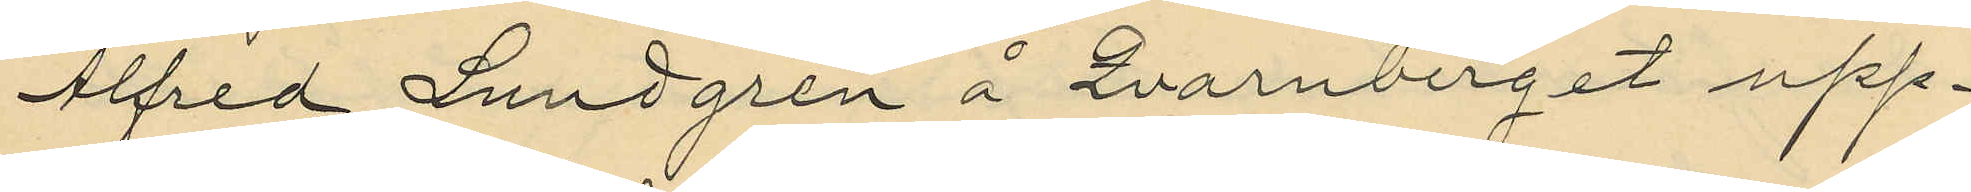Alfred Lundgren å Qvarnberget upp¬
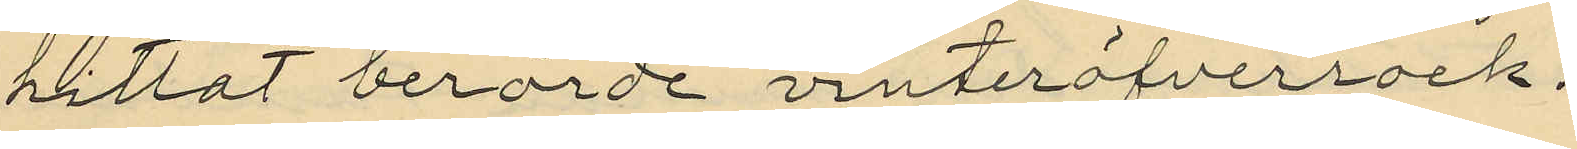hittat berörde vinteröfverrock.
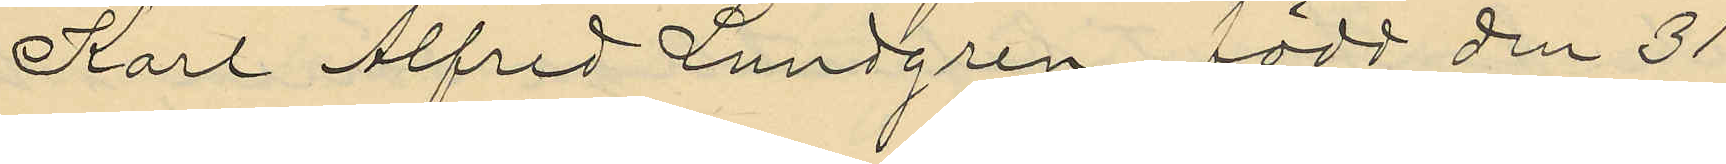Karl Alfred Lundgren, född den 21
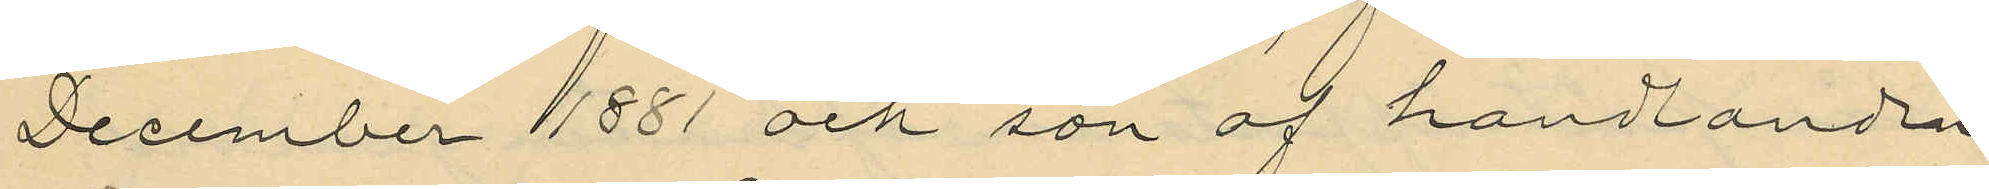December 1881 och son af handlanden
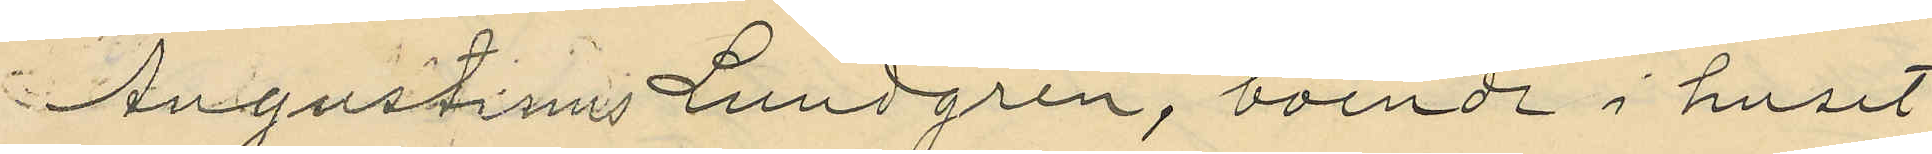Augustinus Lundgren, boende i huset
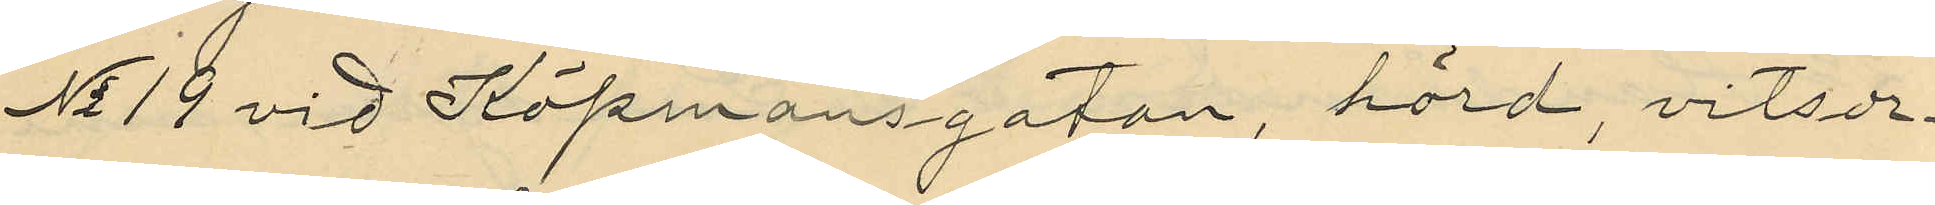No 19 vid Köpmansgatan, hörd, vitsor¬
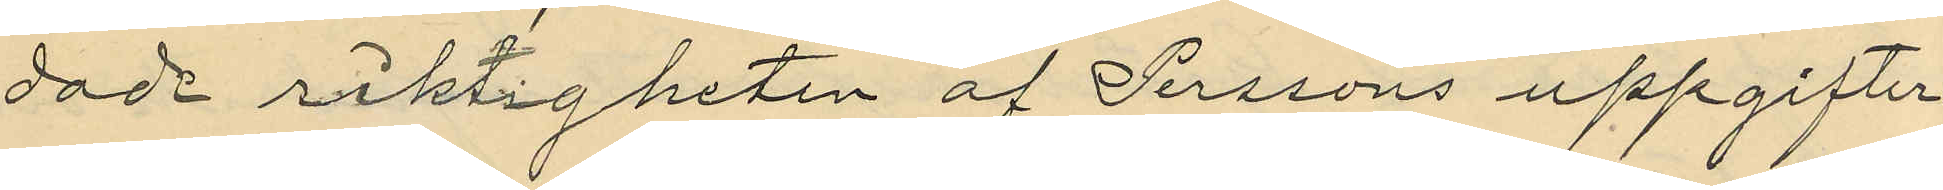dade riktigheten af Perssons uppgifter
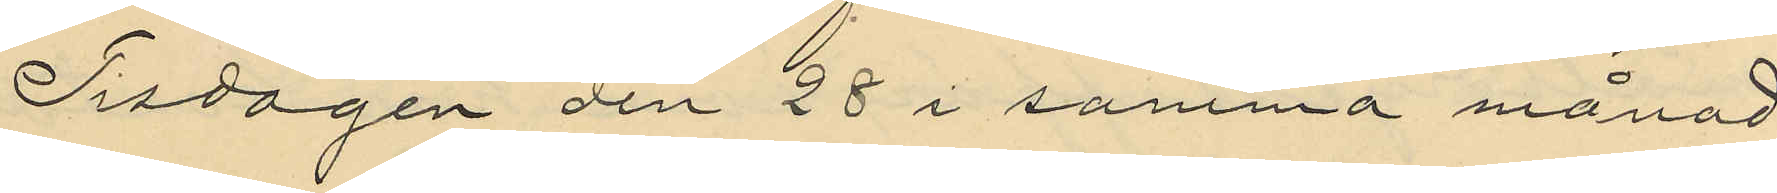Tisdagen den 28 i samma månad
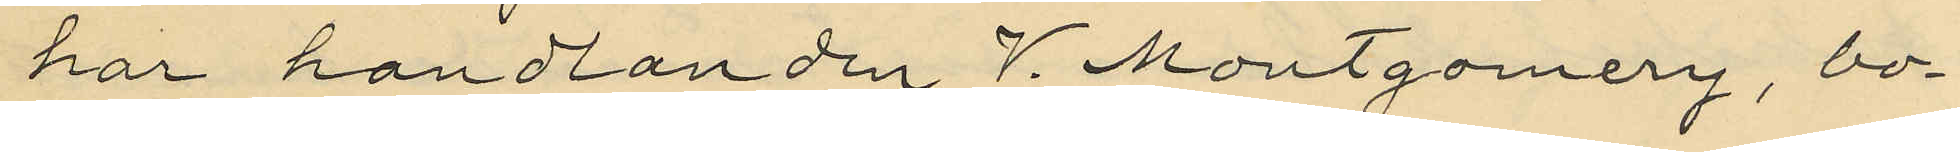har handlanden J. Montgomery, bo¬
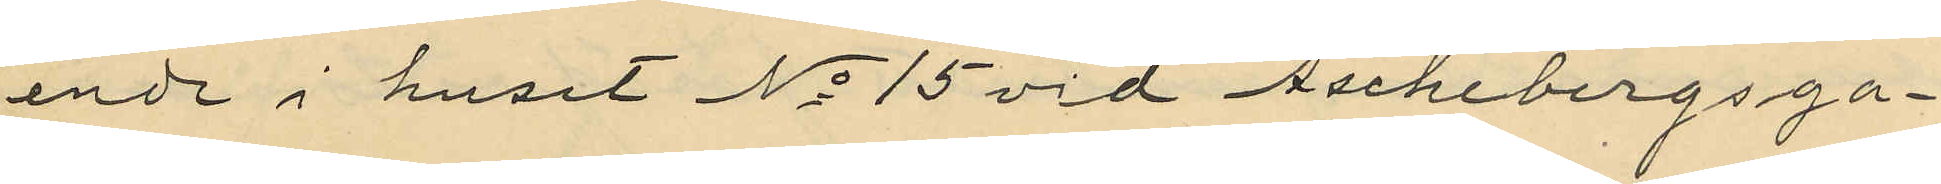ende i huset No 15 vid Aschebergsga¬
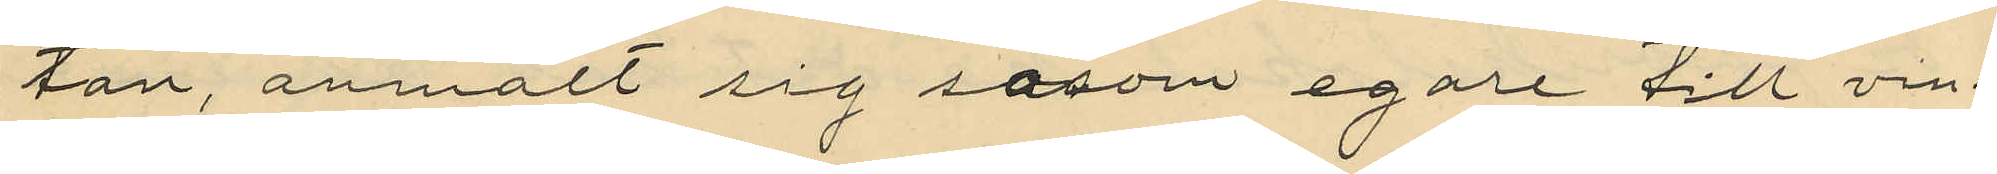tan, anmält sig såsom egare till vin¬
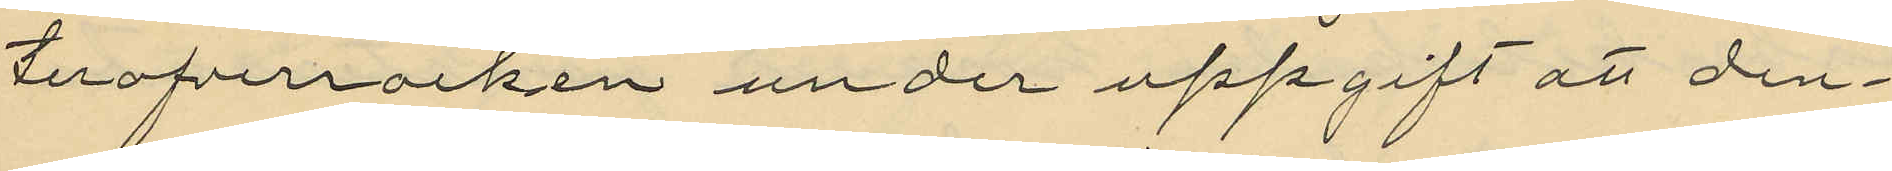teröfverrocken under uppgift att den¬
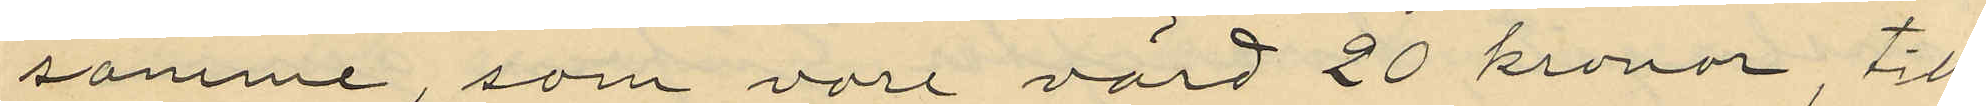samme, som vore värd 20 kronor till¬
